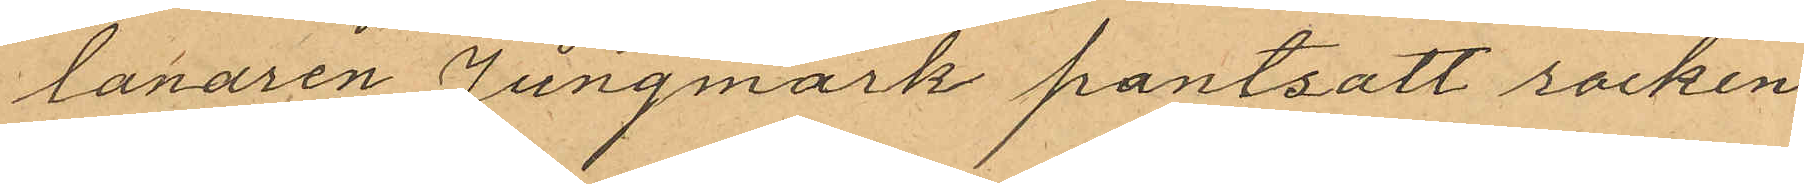lånaren Jungmark pantsatt rocken
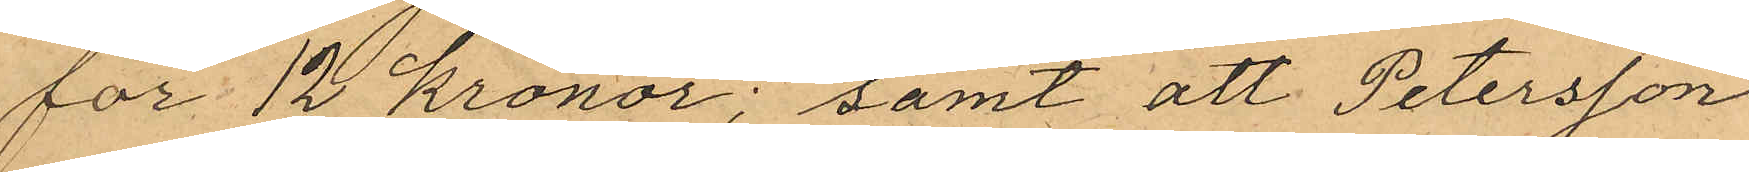för 12 kronor; samt att Petersson
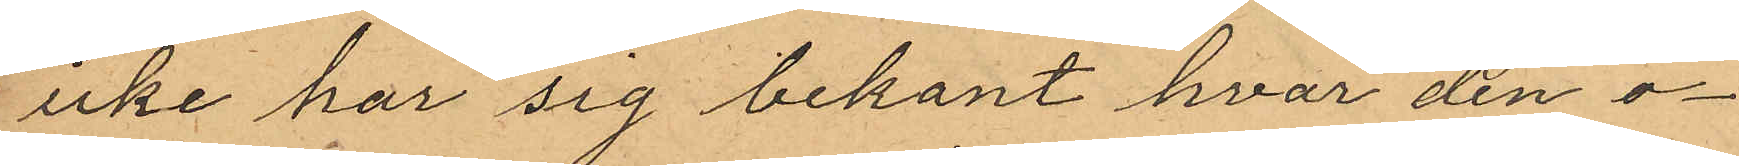icke har sig bekant hvar den o¬
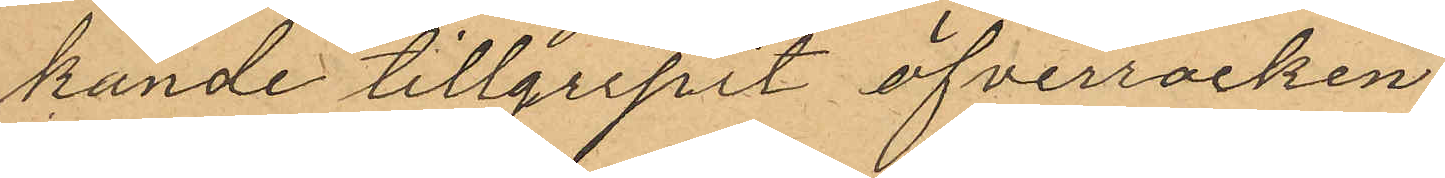kände tillgripit öfverrocken
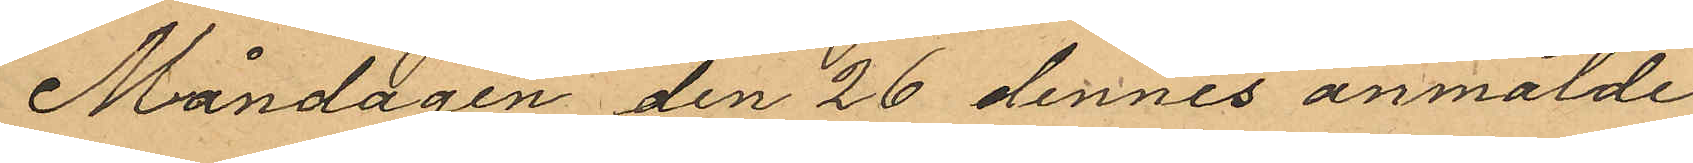Måndagen den 26 dennes anmälde
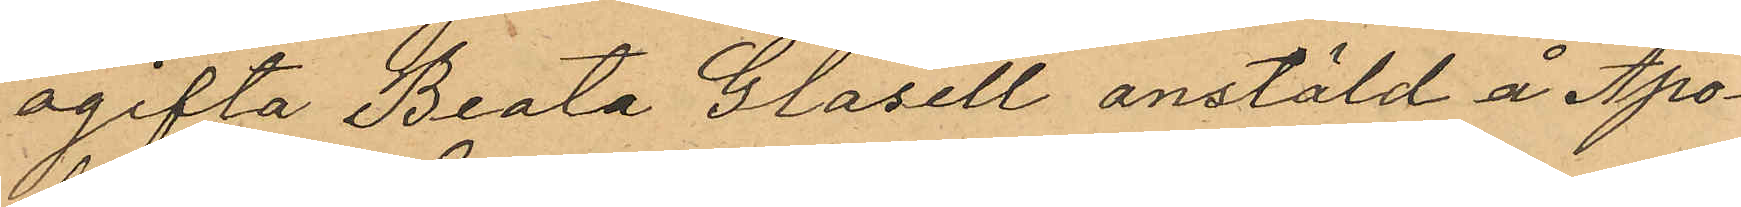ogifta Beata Glasell anstäld å Apo¬
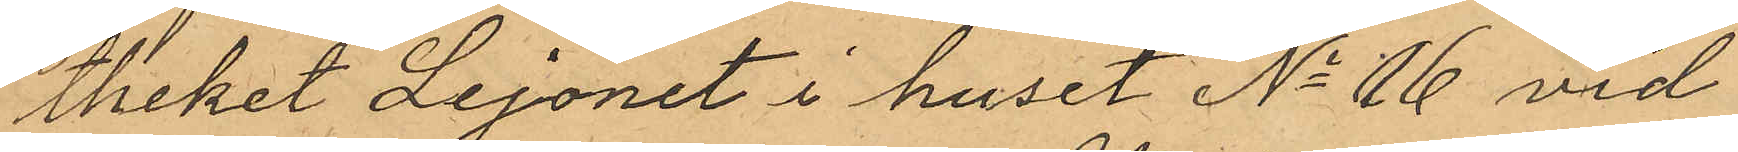theket Lejonet i huset No 16 vid
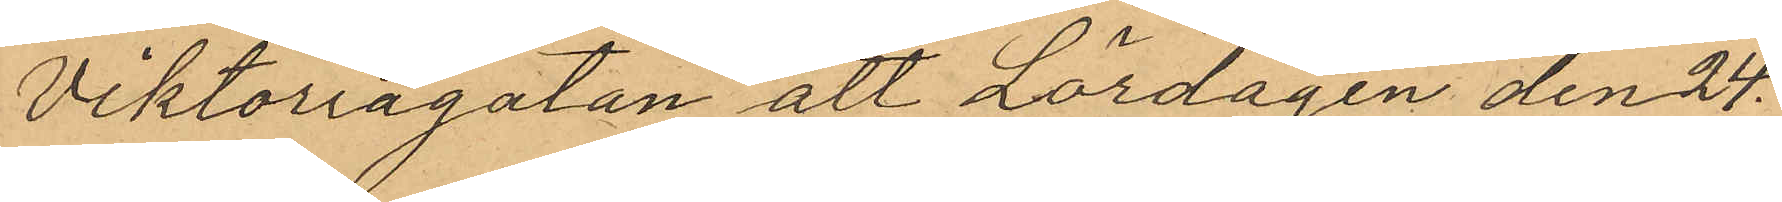Viktoriagatan att Lördagen den 24
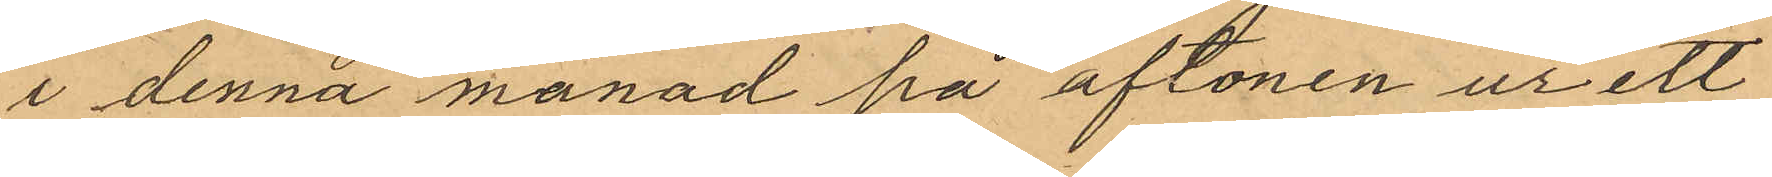i denna månad på aftonen ur ett
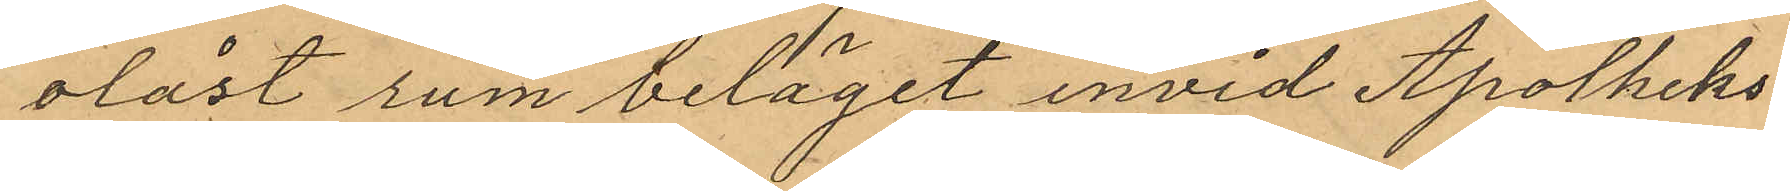olåst rum beläget invid Apotheks¬
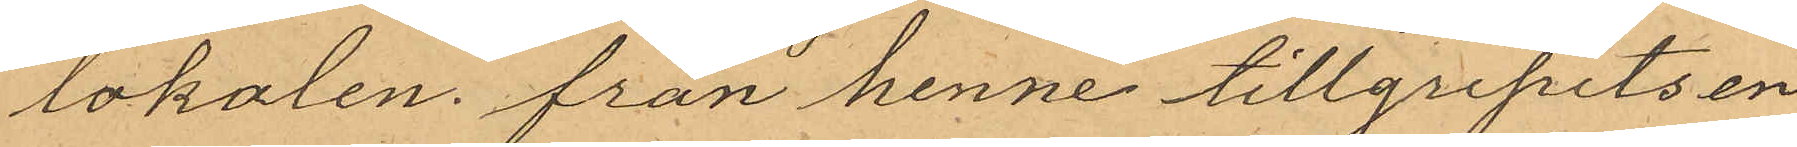lokalen från henne tillgripits en
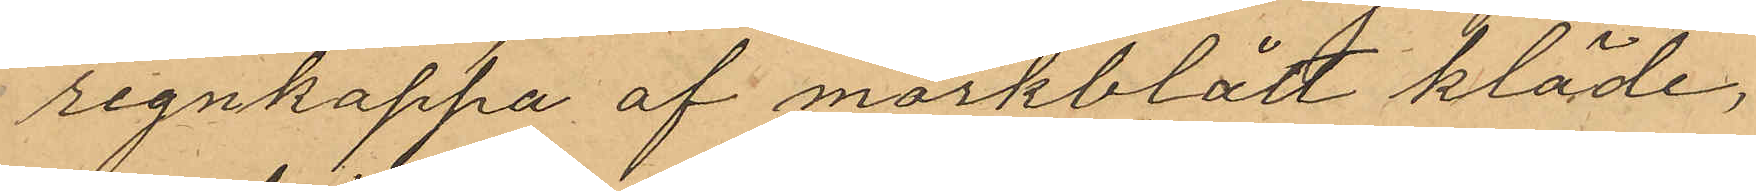regnkappa af mörkblått kläde,
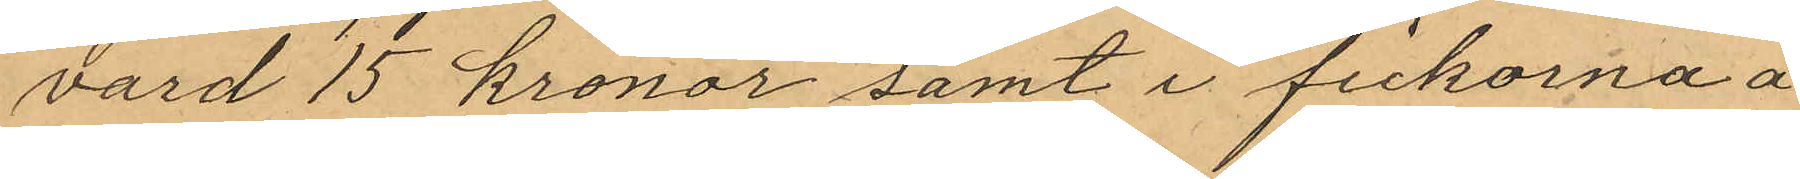värd 15 kronor samt i fickorna å
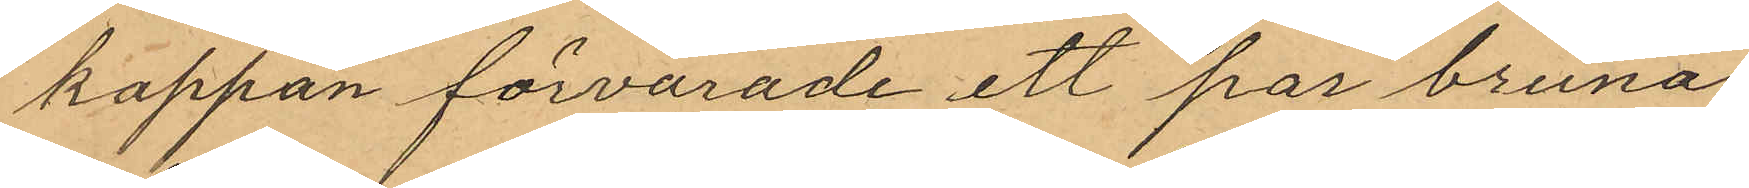kappan förvarade ett par bruna
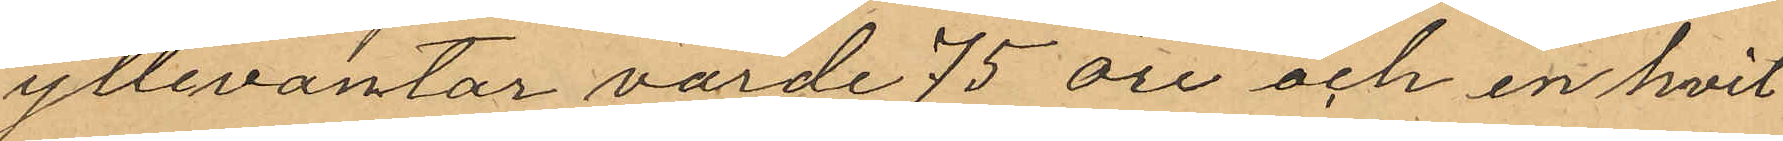yllevantar värde 75 öre och en hvit
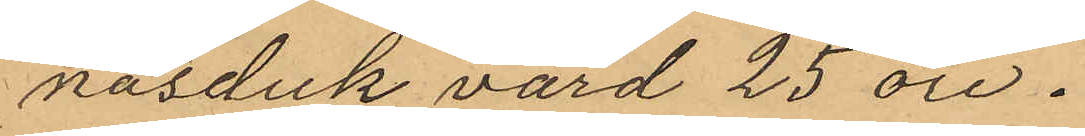näsduk värd 25 öre.
